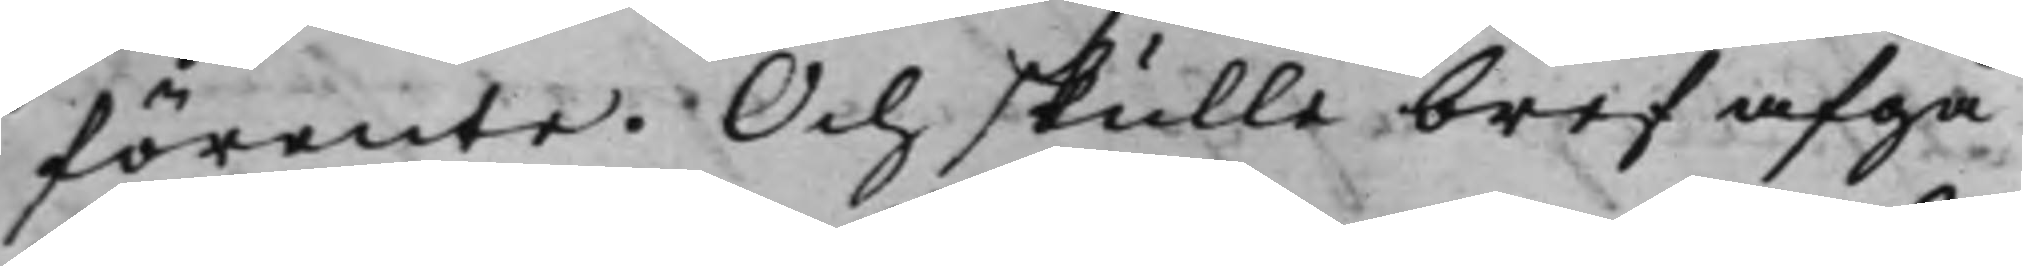förente. Och skulle bref afgå
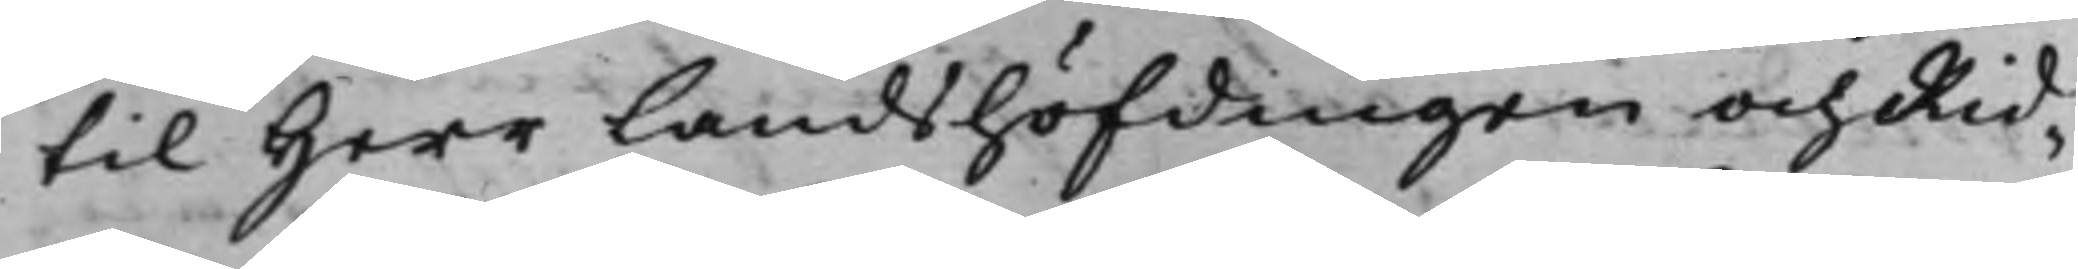til Herr Landshöfdingen och Rid¬
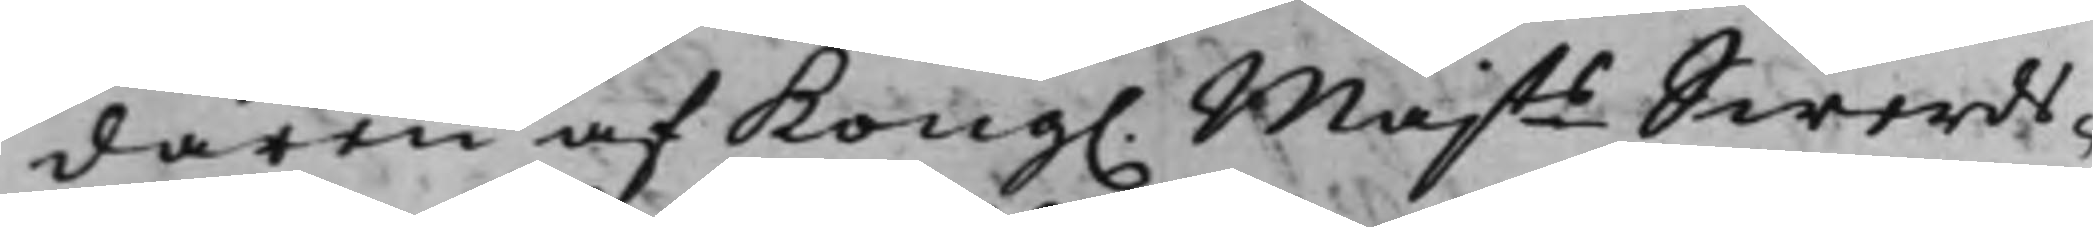daren af Kong. Majts Swerds¬
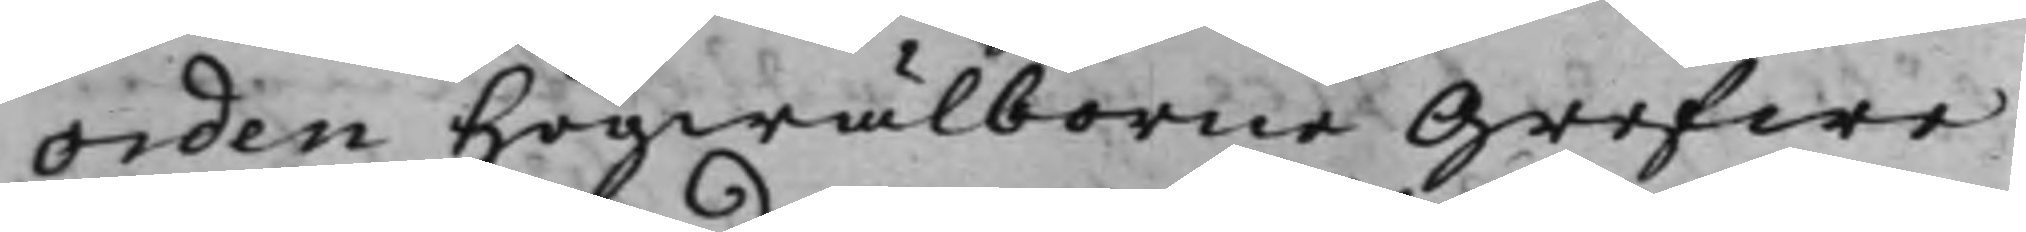orden Högwälborne Grefwe
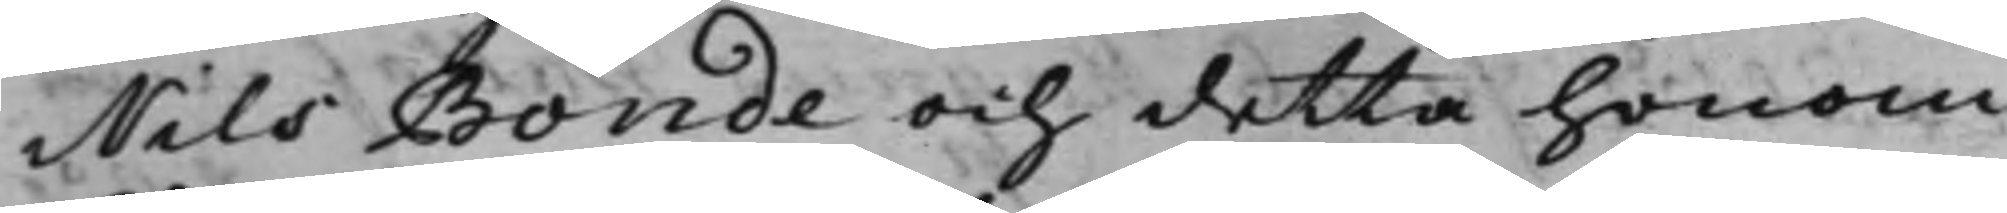Nils Bonde och detta honom
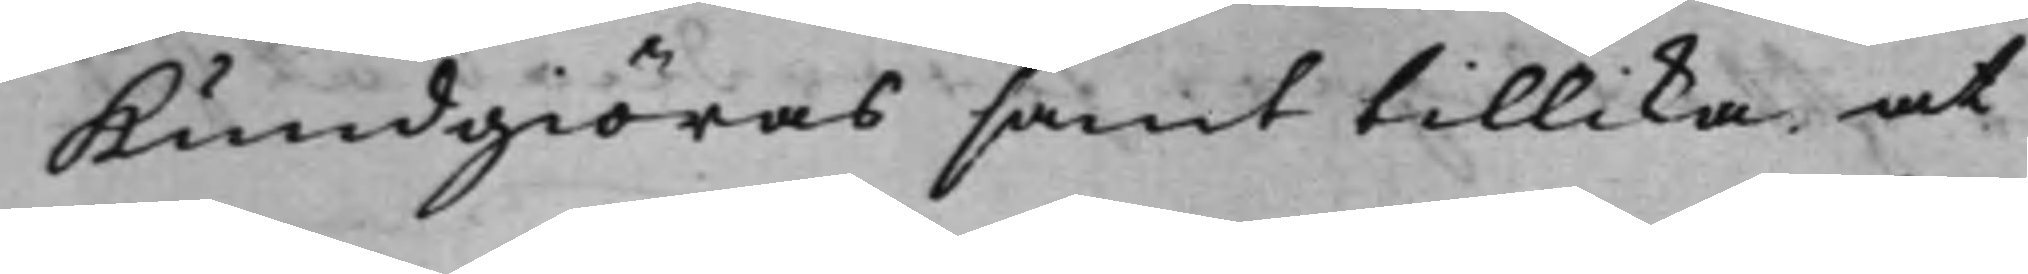Kundgiöras samt tillika at
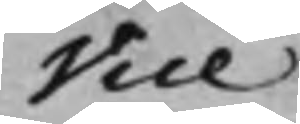Vice
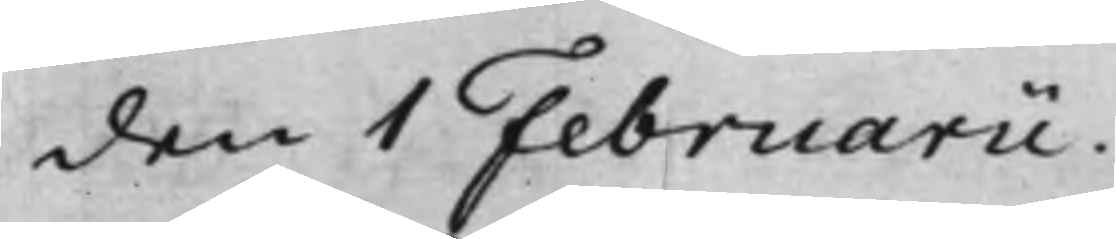den 1 Februarii.
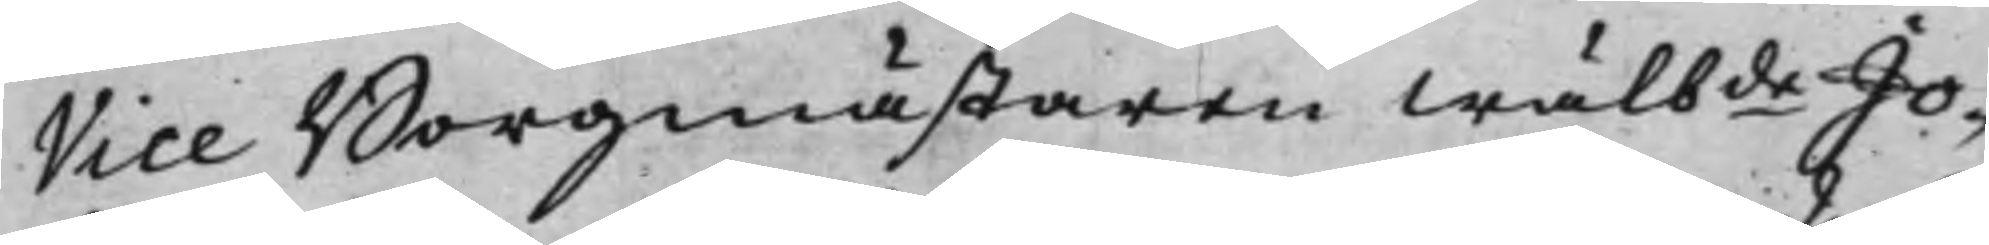Vice Borgmästaren Wälbde Jo¬
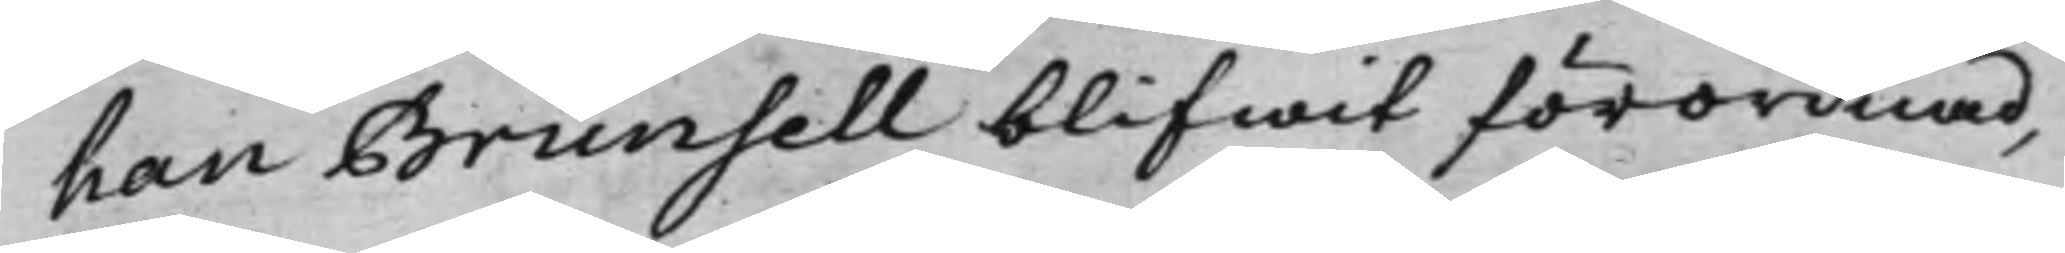han Brunsell blifwit förordnad,
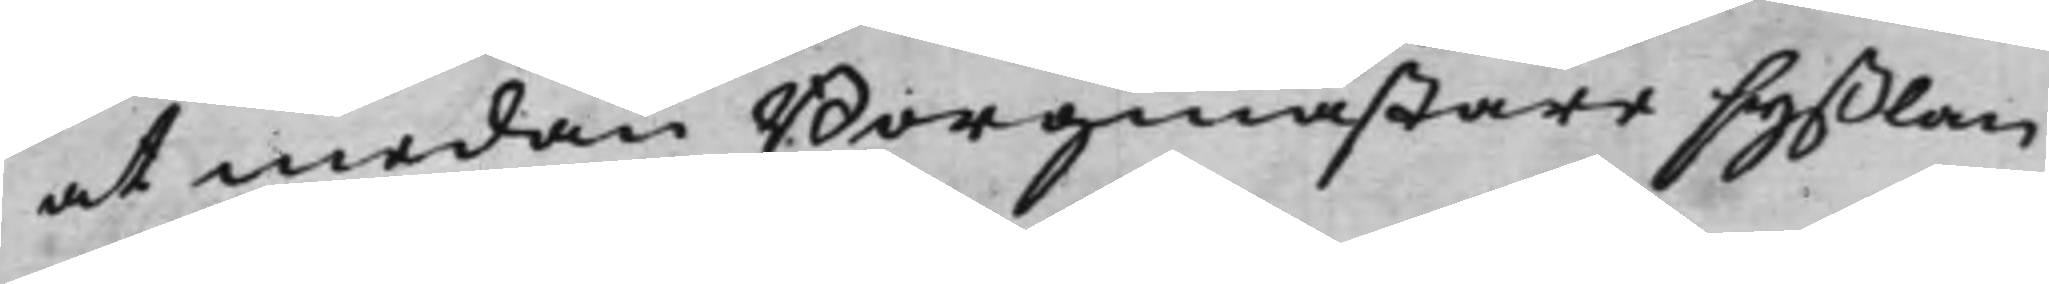at medan Borgmästaresyßlan
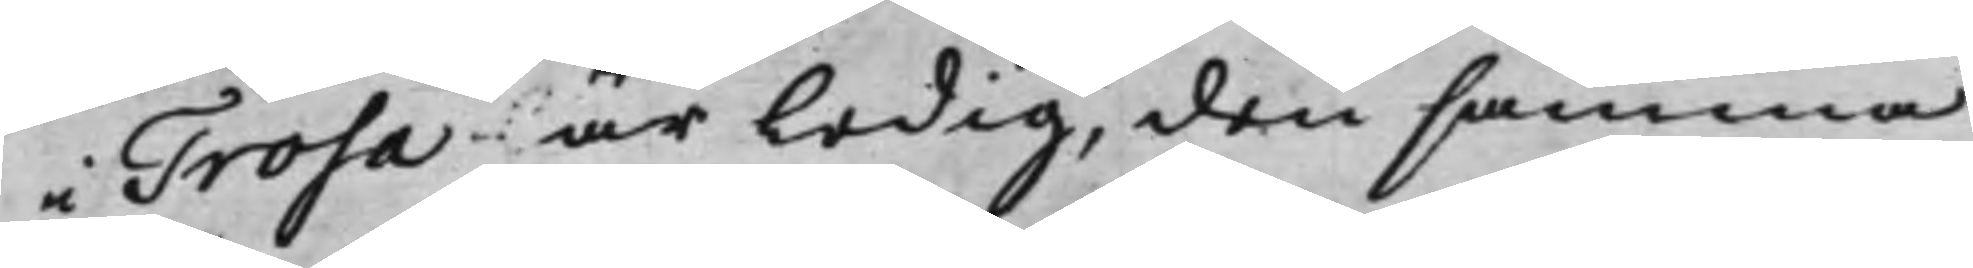i Trosa är ledig, den samma
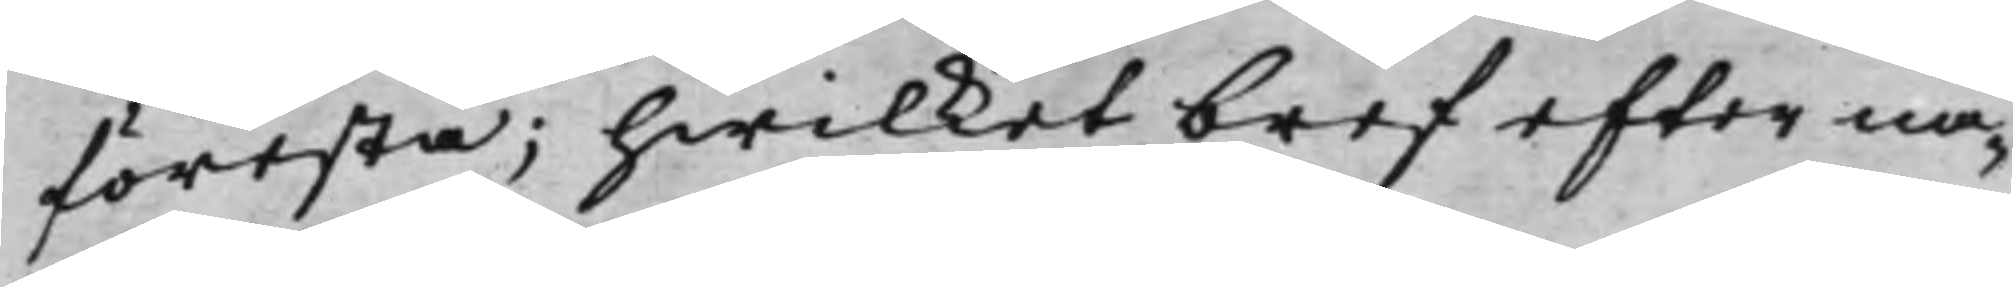förestå; hwilket bref efter nå¬
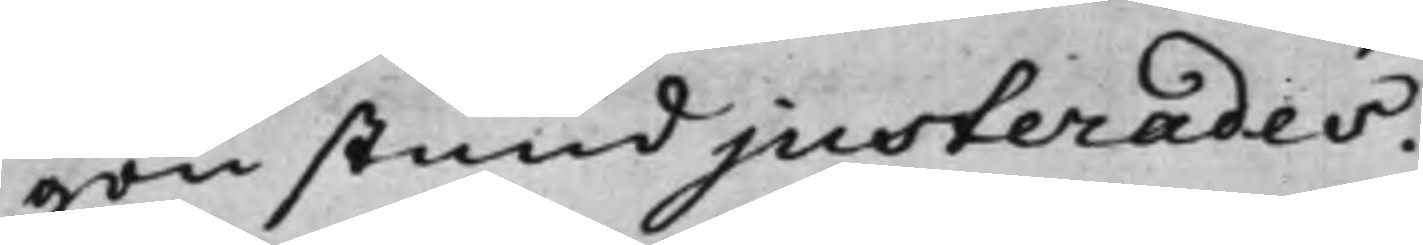gon stund justerades.
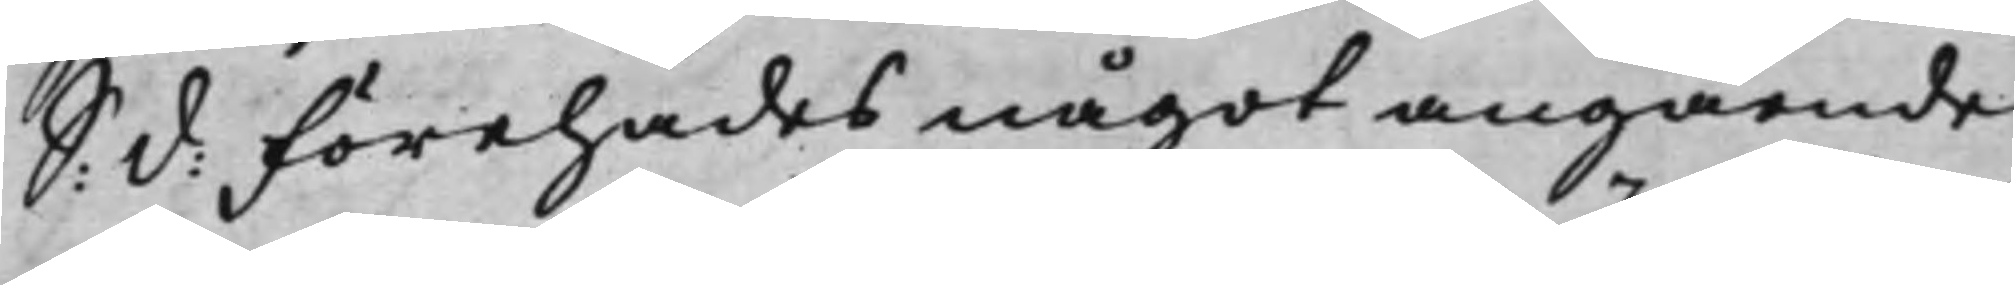S: d: Förehades något angående
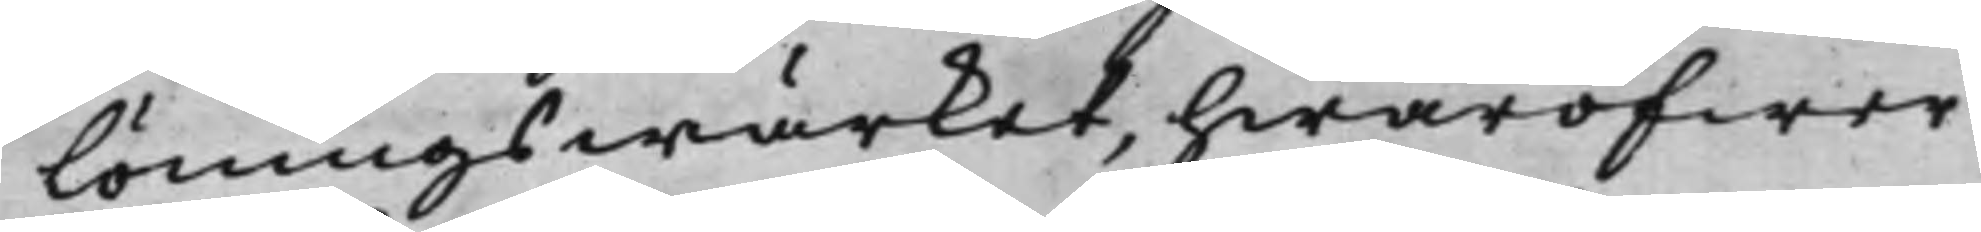Löningswärket, hwaröfwer
